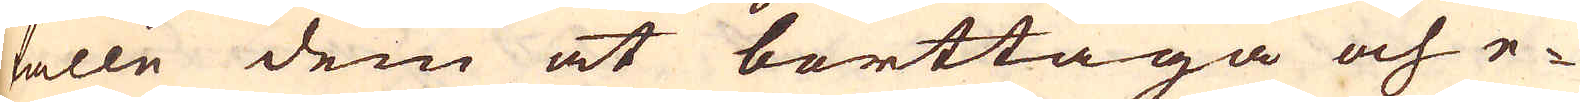fälle dem at borttaga och e-
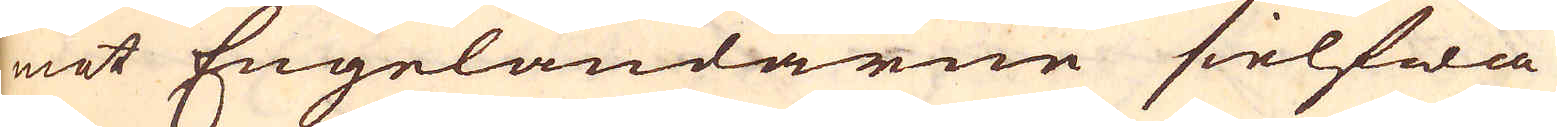mot Engeländarne sielfwa
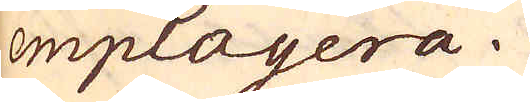employera.
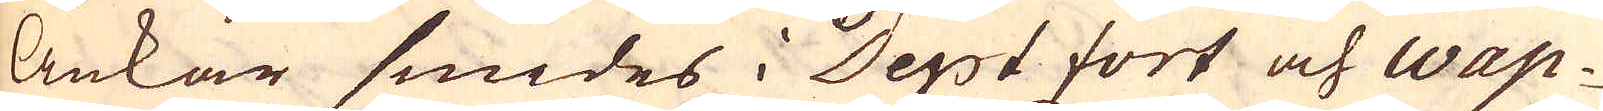Ankar smides i Deptfort och Wap-
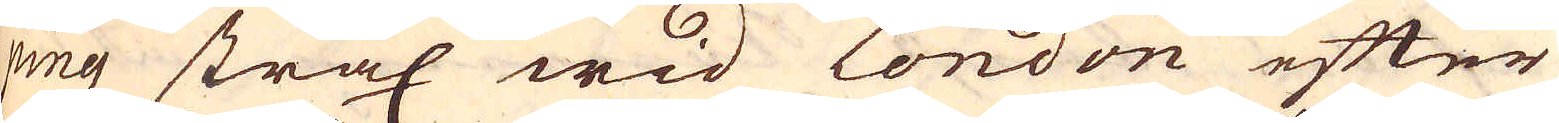ping strax wid London efter
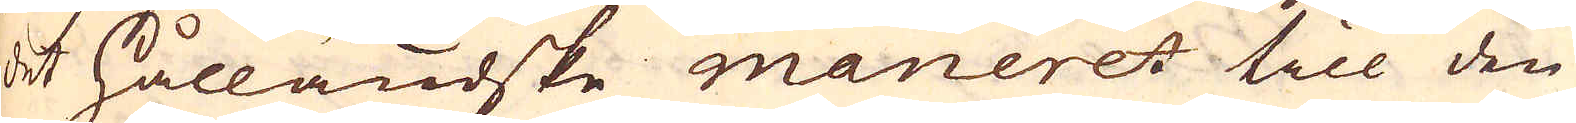det Hålländske maneret till den
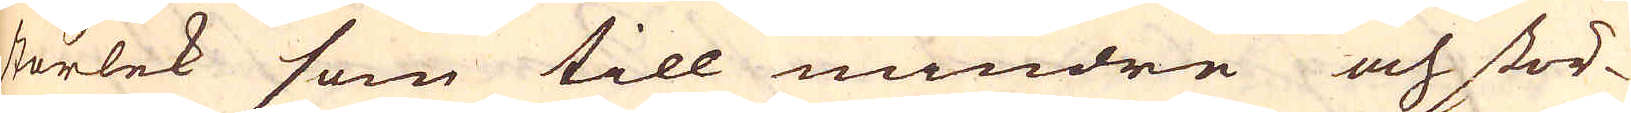storlek som till mindre och stör-
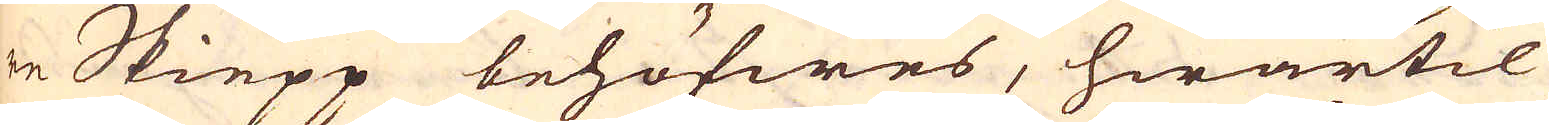re Skiepp behöfwes, hwartil
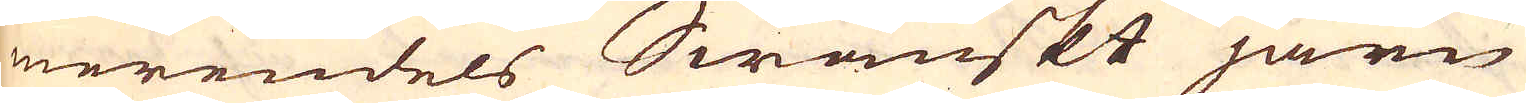merendels Swänskt järn
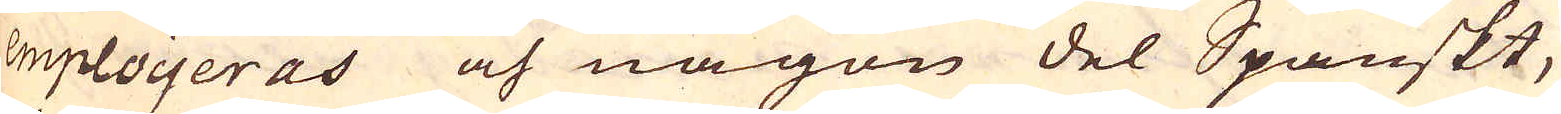emploijeras och någon del Spanskt,
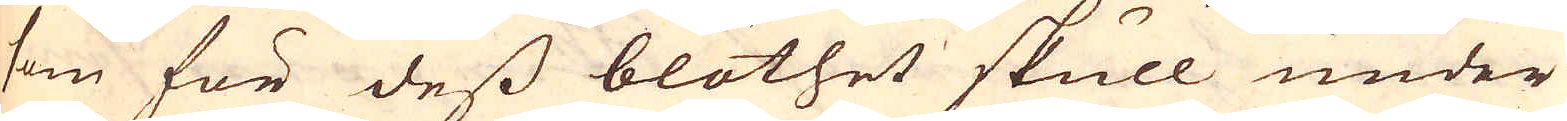som för dess blöthet skull under
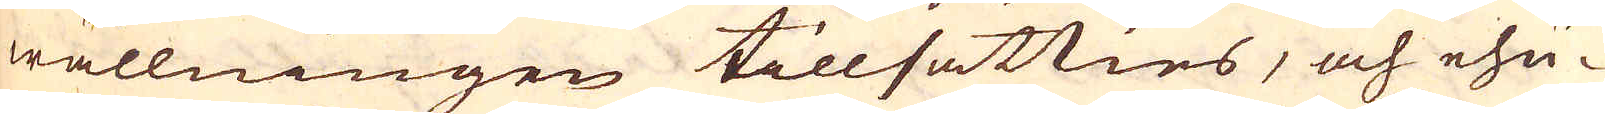wällningen tillsätties, och ehu-
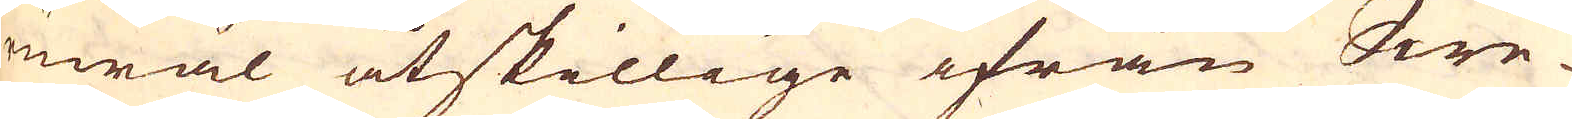ruwäl åtskillige ifrån Swe-
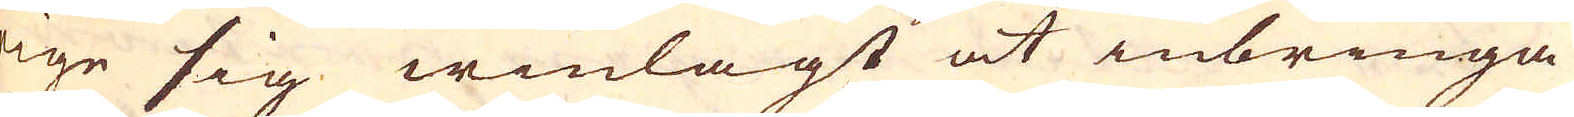rige sig winlagt at inbringa
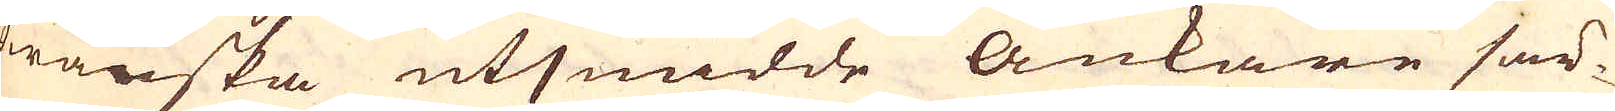Swänska utsmidde Ankare sär-
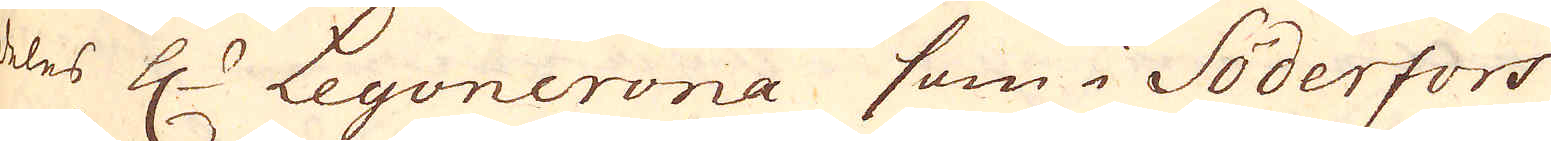deles H:r Leyoncrona som i Söderfors
